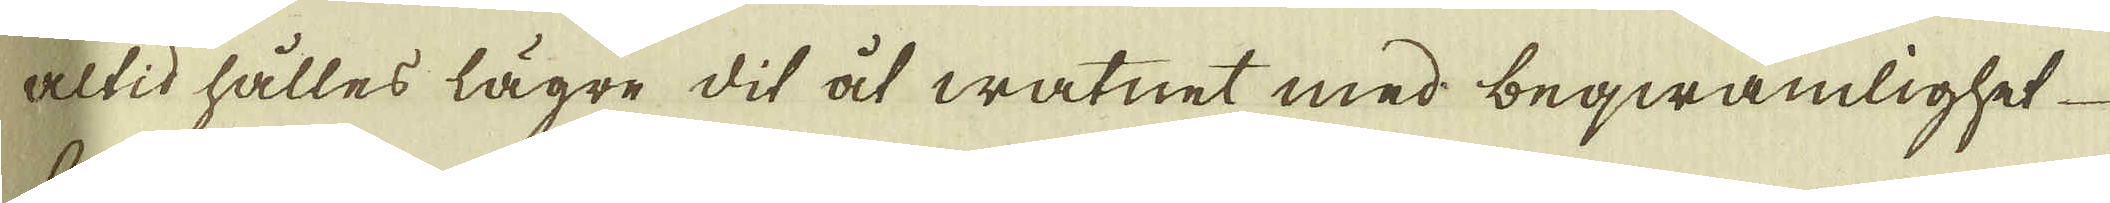altid hålles lägre dit åt watnet med beqwämlighet
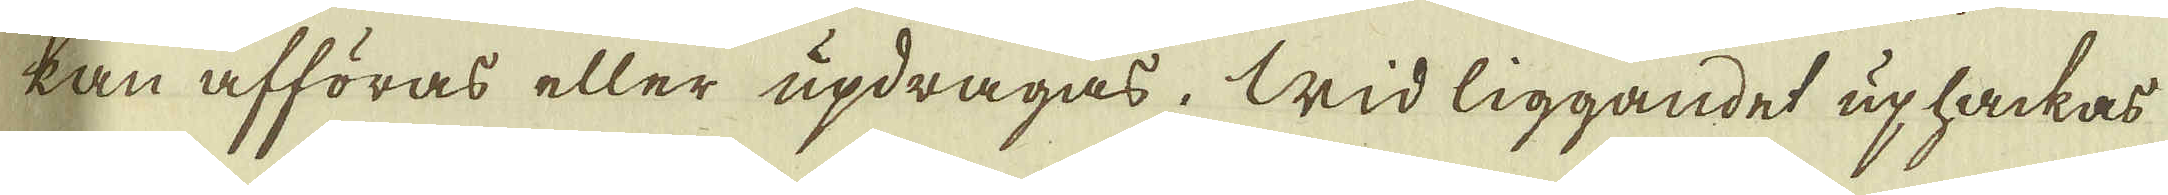kan afföras eller updragas. Wid liggande uphakas
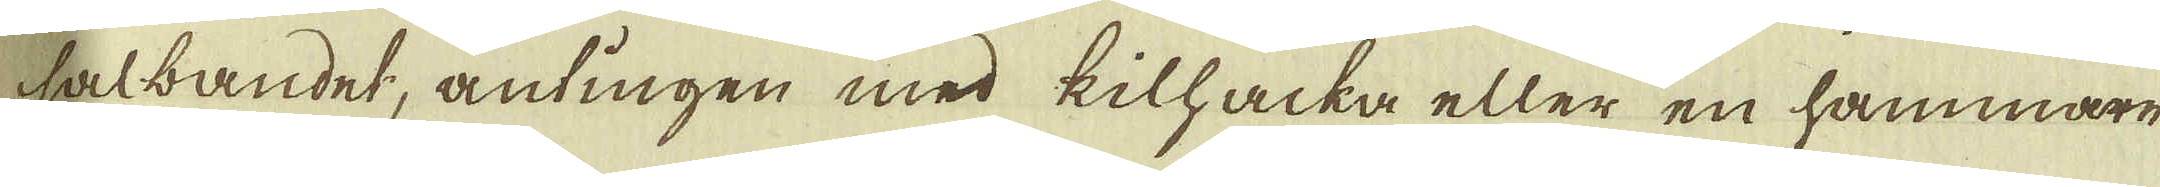salbandet, antingen med kilhacka eller en hammare
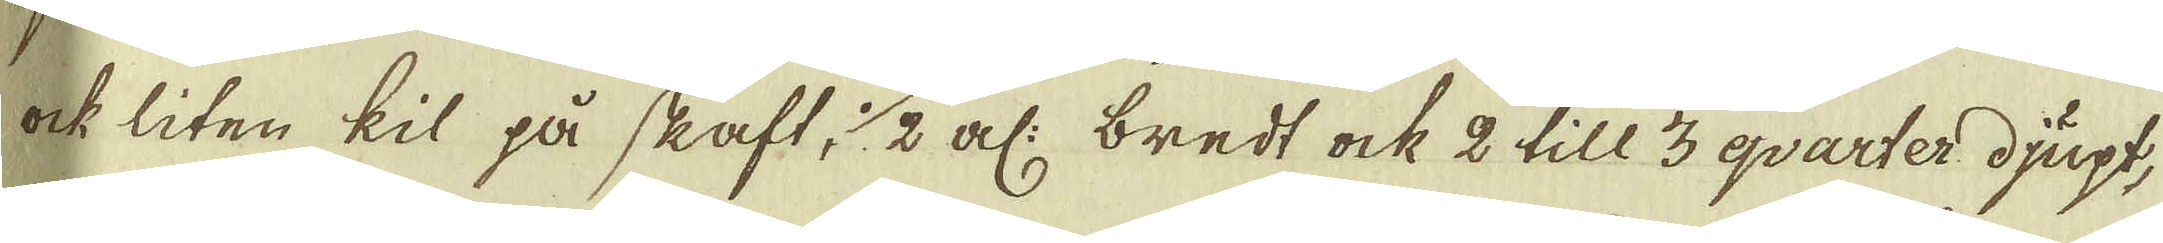ock liten kil på skaft, 1/2 al: bredt ock 2 till 3 qvarter djupt,
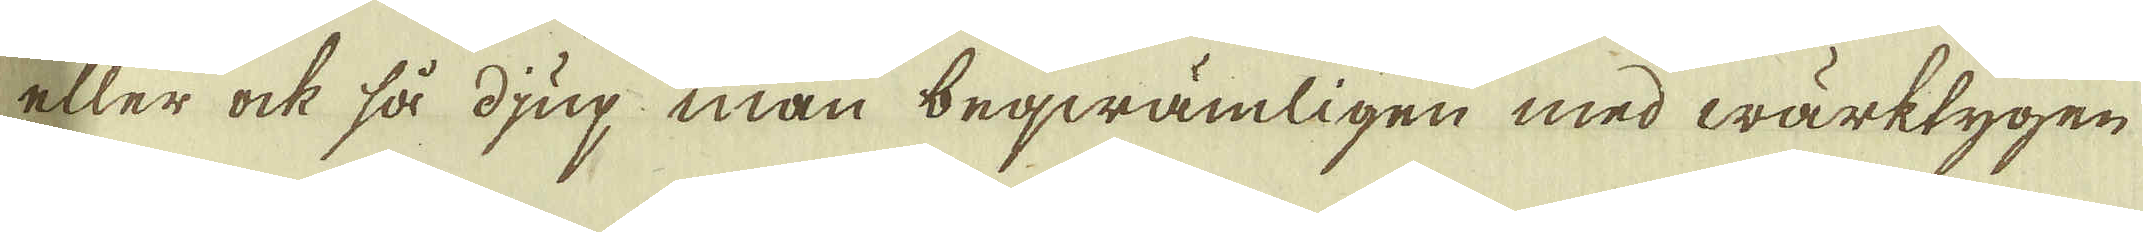eller ock så djup man beqwämligen med wärktygen
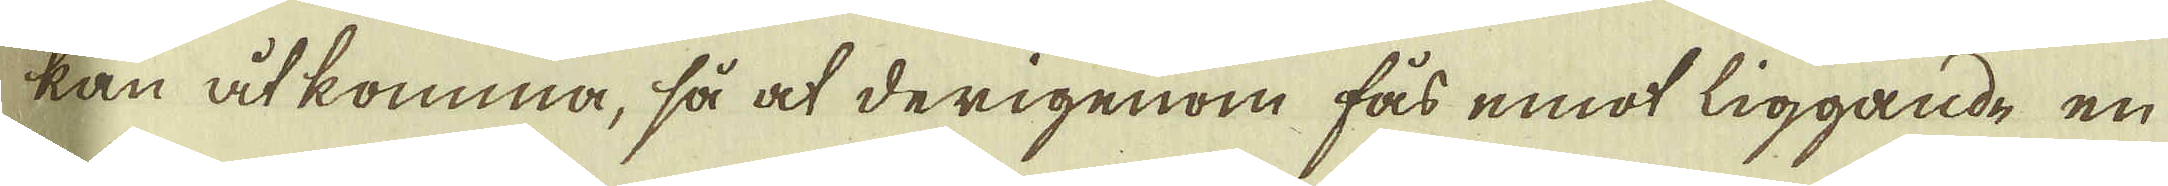kan åtkomma, så at derigenom fås emot liggande en
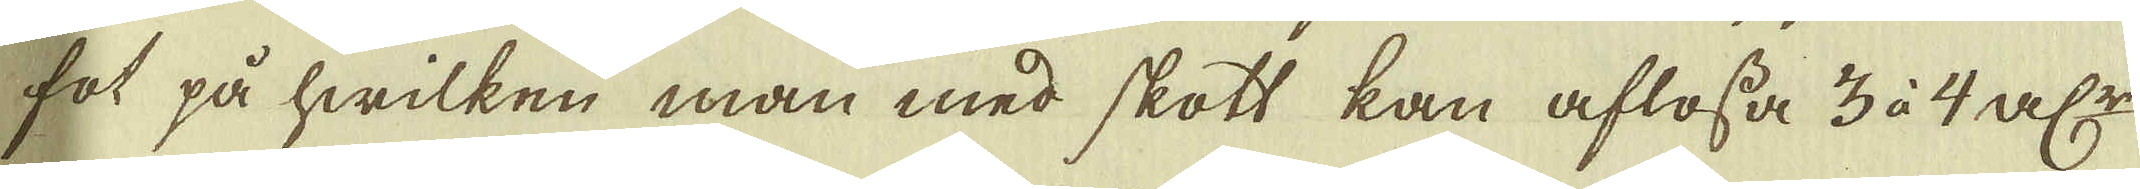fot på hwilken man med skott kan aflösa 3 à 4 a:lr
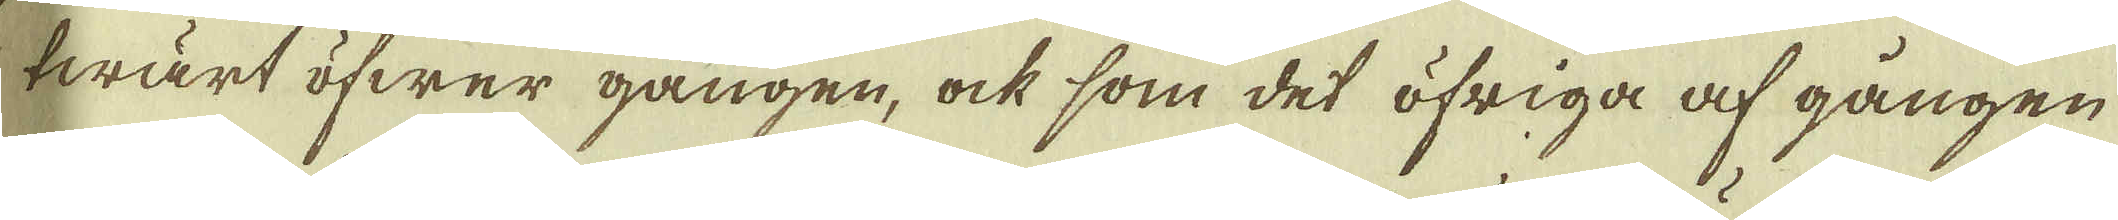twärt öfwer gången, ock som det öfriga af gången
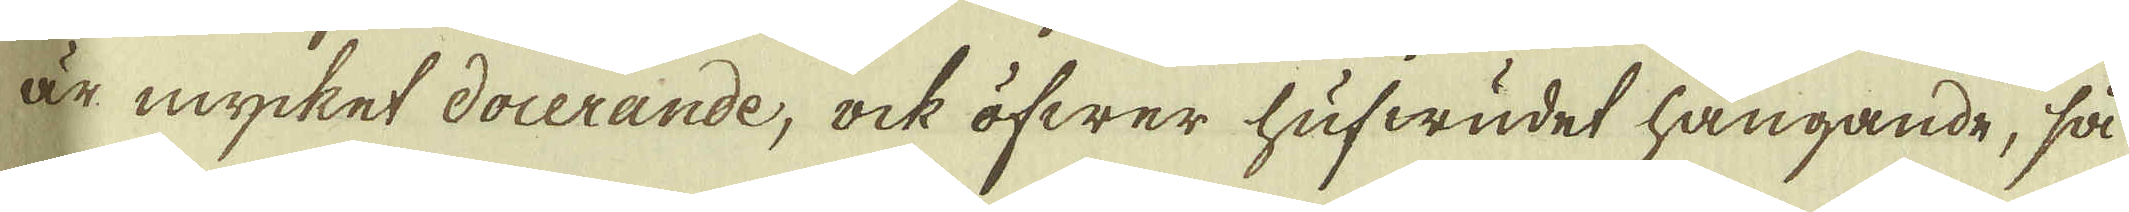är mycket docerande, ock öfwer hufwudet hängande, så
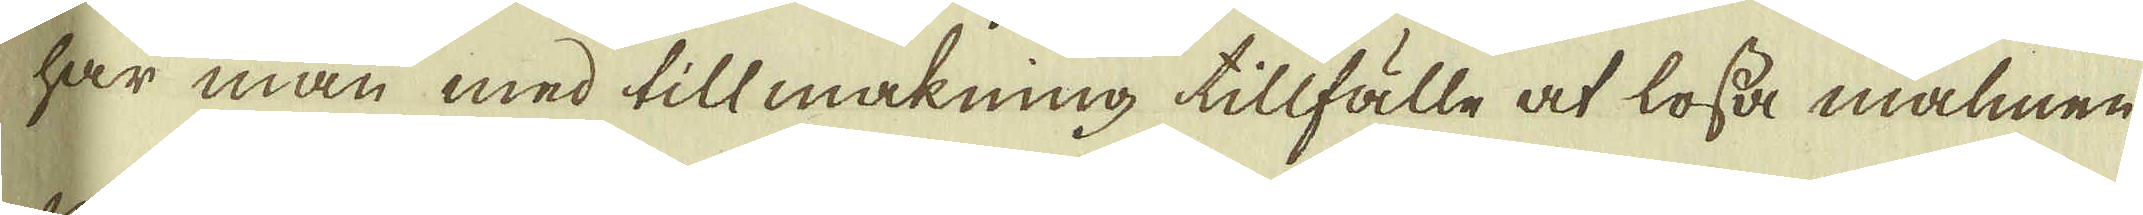har man med tillmakning tillfälle af lösa malmen
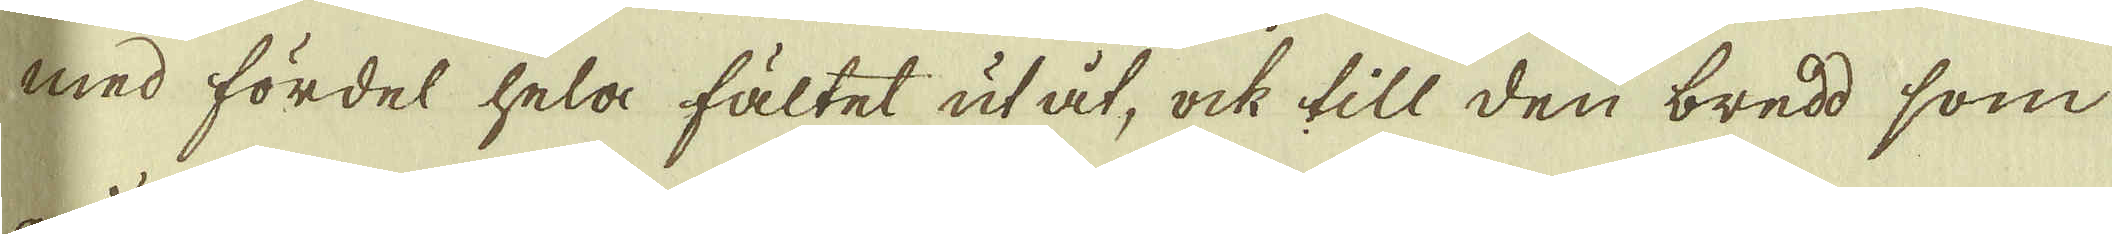med fördel hela fältet utåt, ock till den bredd, som
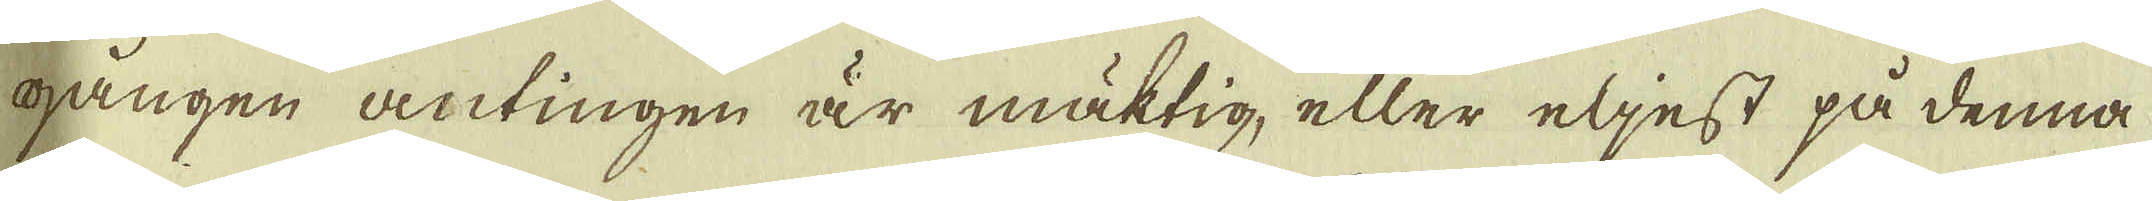gången antingen är mäktig, eller eljest på denna
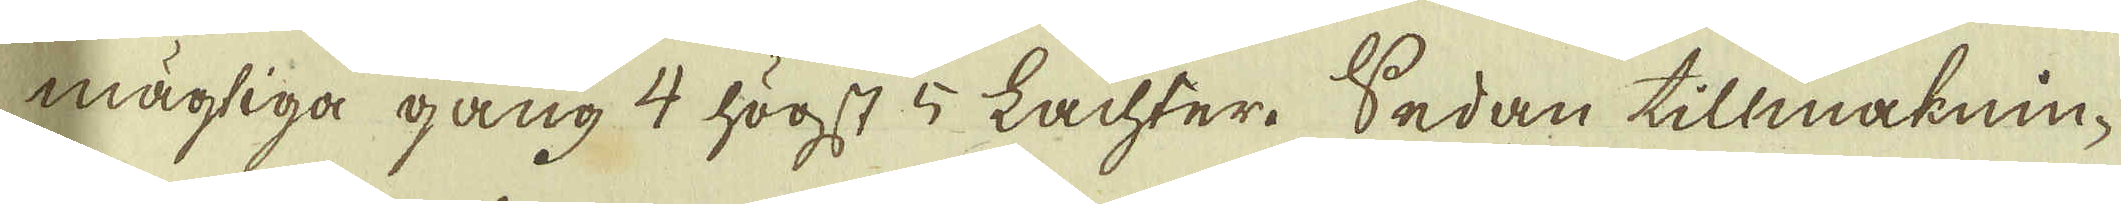mägtiga gång 4 högst 5 Lachter. Sedan tillmaknin-
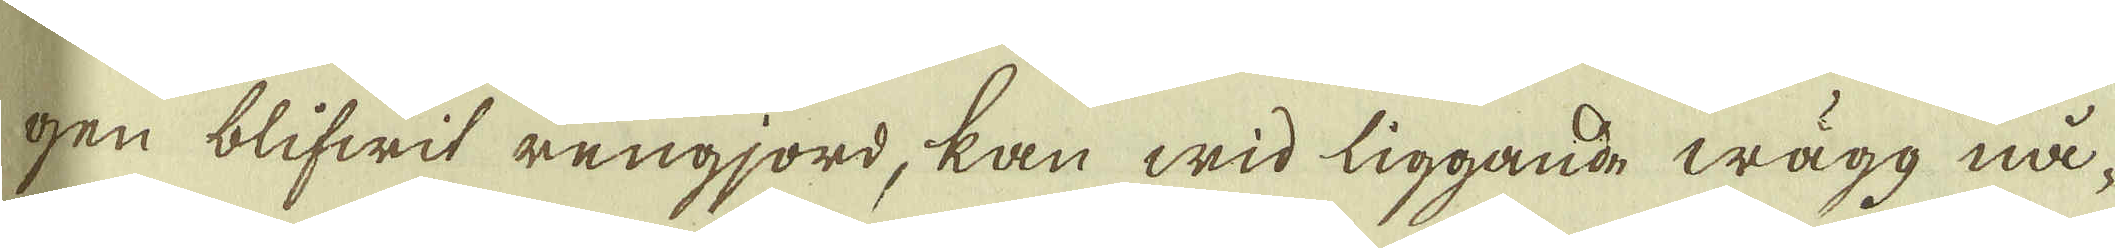gen blifwit rengjord, kan wid liggande wägg nå-
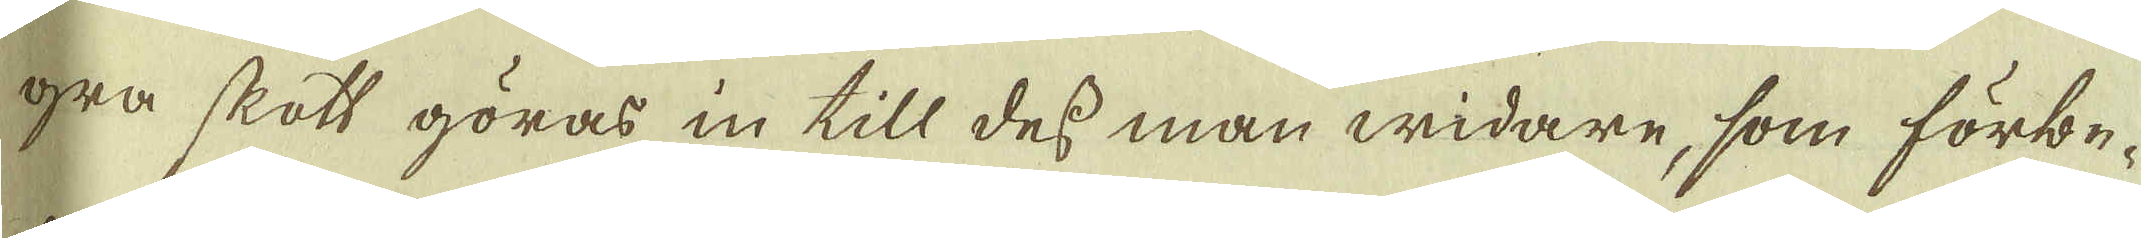gra skott göras in till des man widare, som förbe-
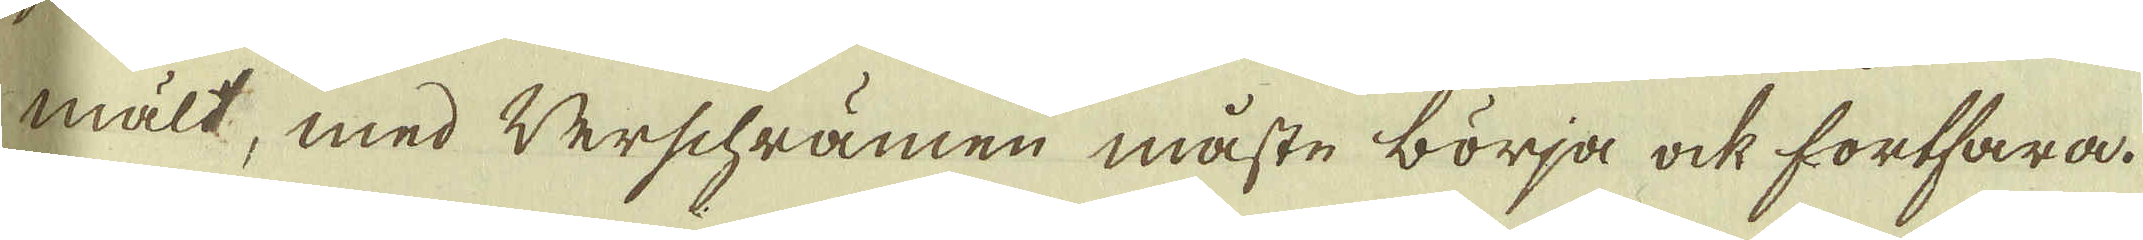mält, med Verschrämen måste börja ock fortfara.
